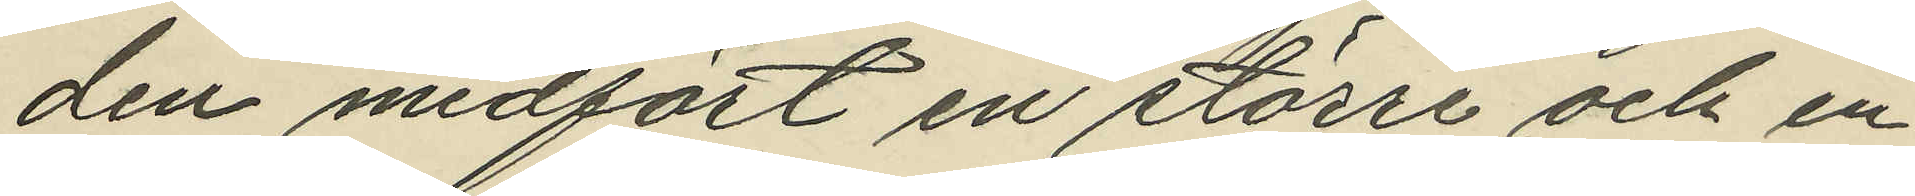den medfört en större och en
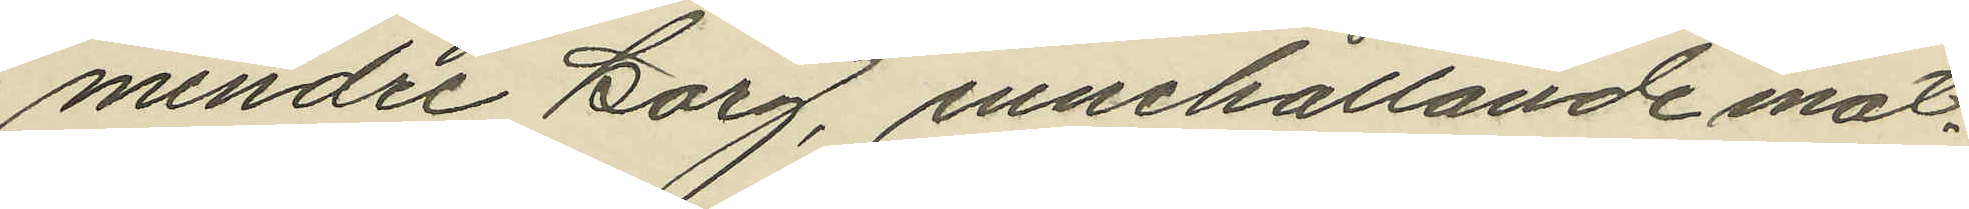mindre korg, innehållande mat¬
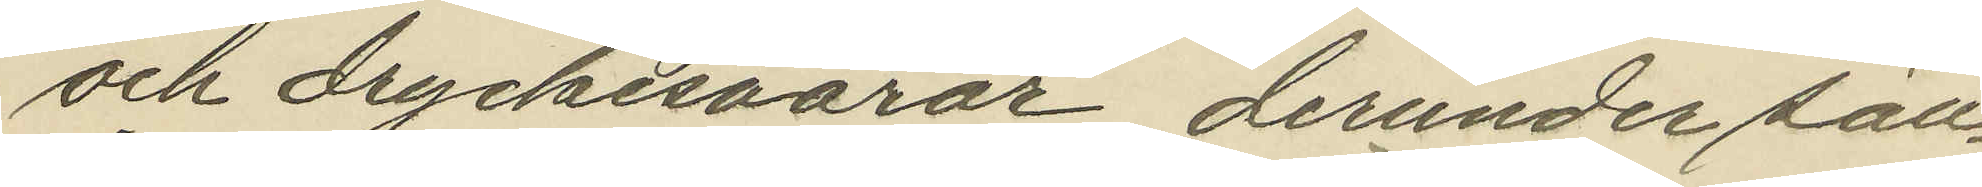och dryckesvaror, derunder säll¬
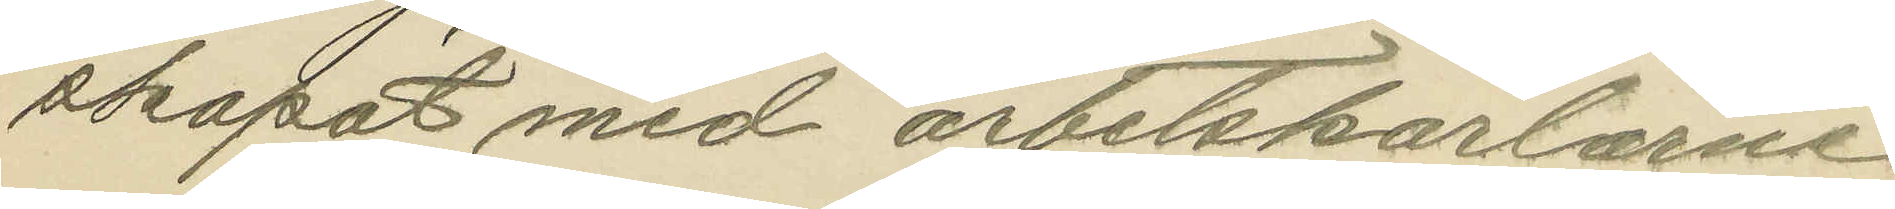skapat med arbetskarlarne
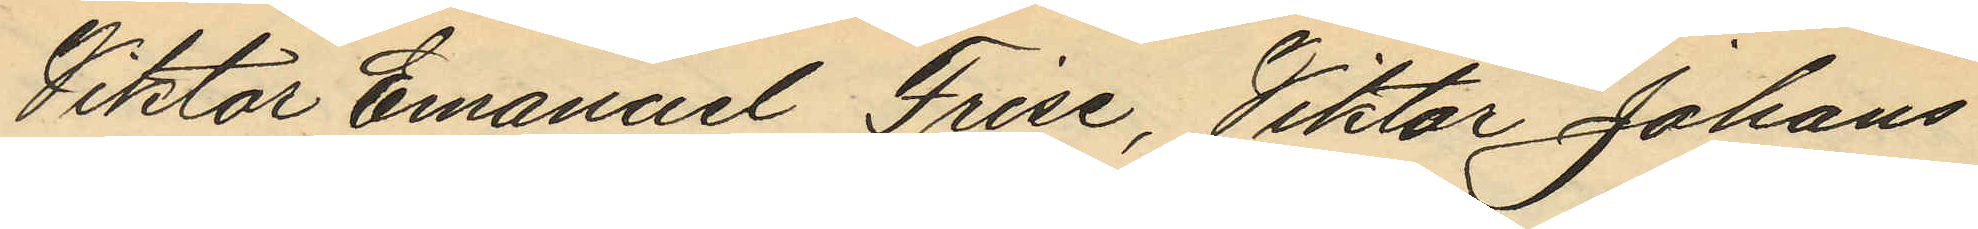Viktor Emanuel Frise, Viktor Johans¬
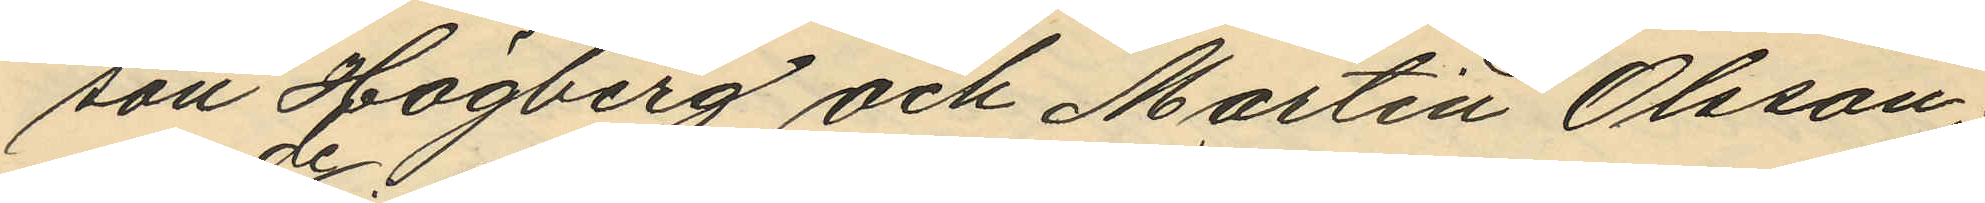son Högberg och Martin Olsson;
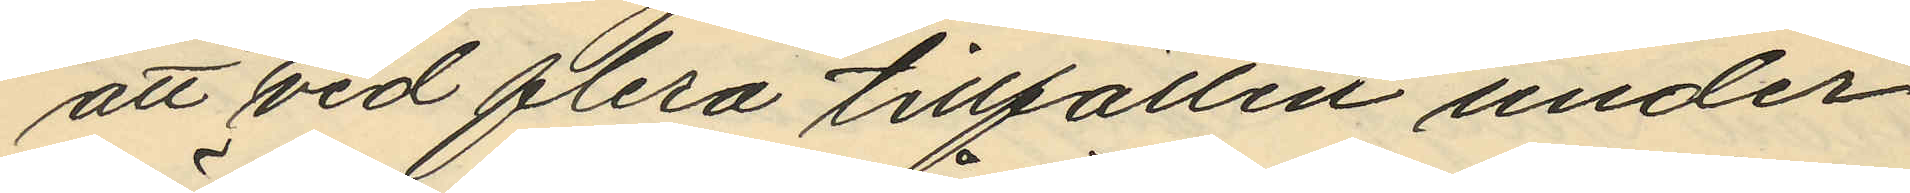att de vid flera tillfällen under
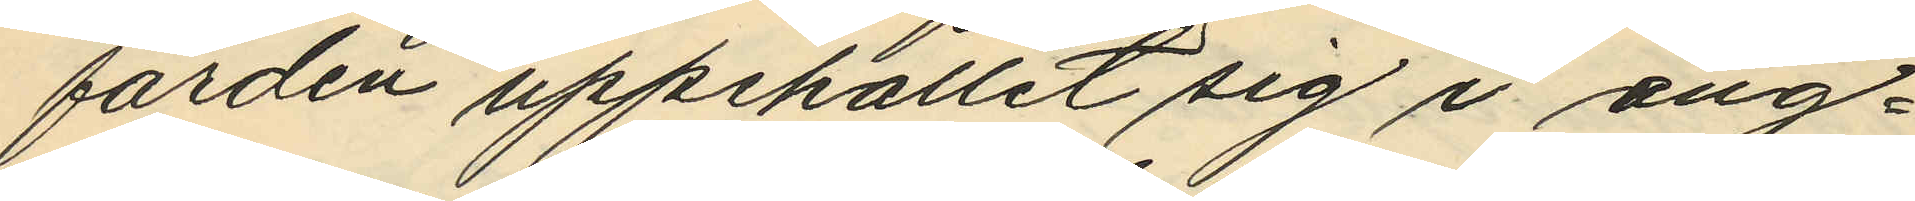färden uppehållit sig i ång¬
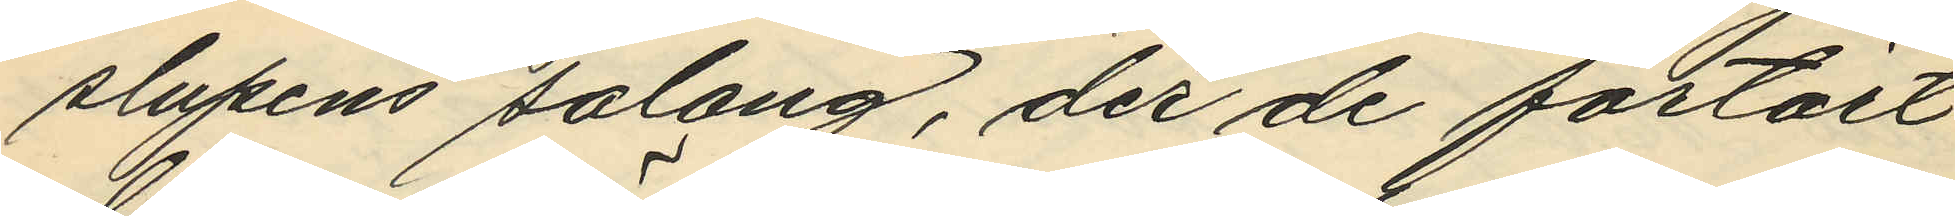slupens salong, der de förtärt
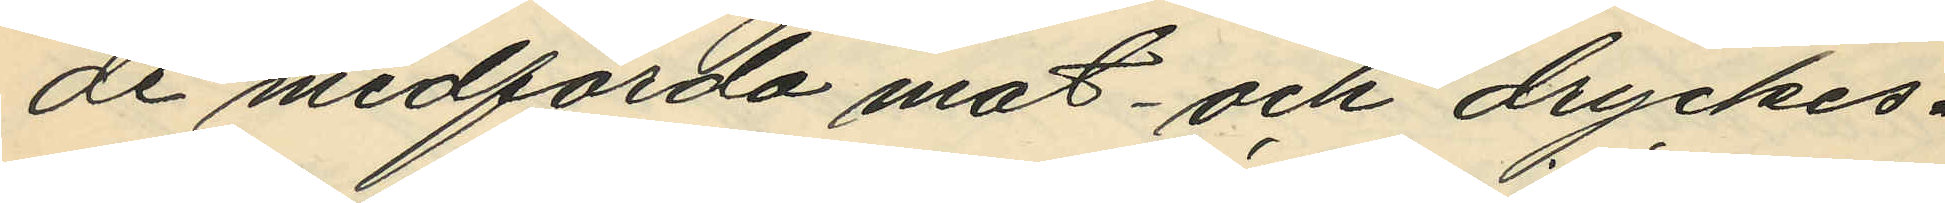de medförda mat- och dryckes¬
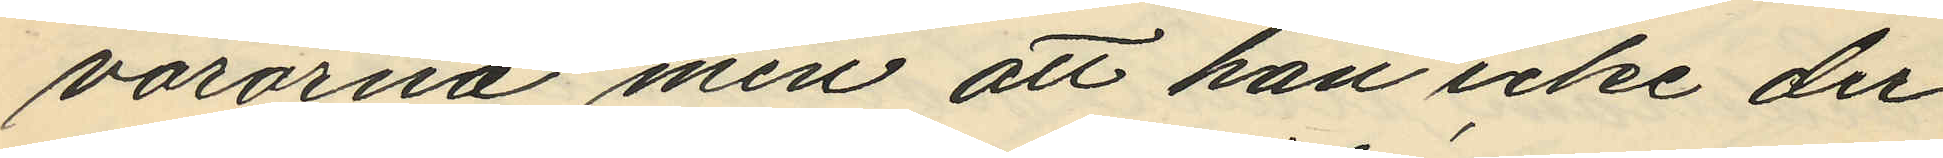varorna men att han icke der
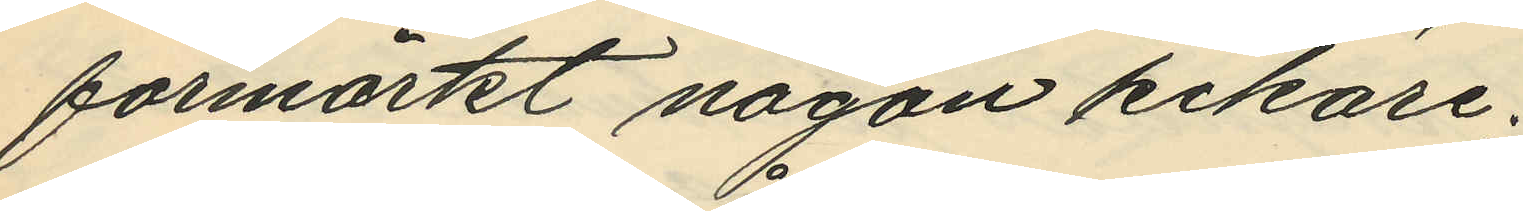förmärkt någon kikare,
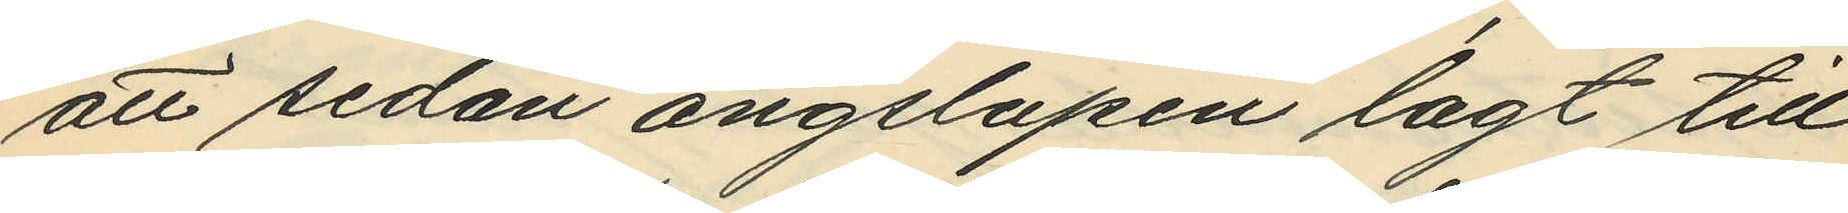att sedan ångslupen lagt till
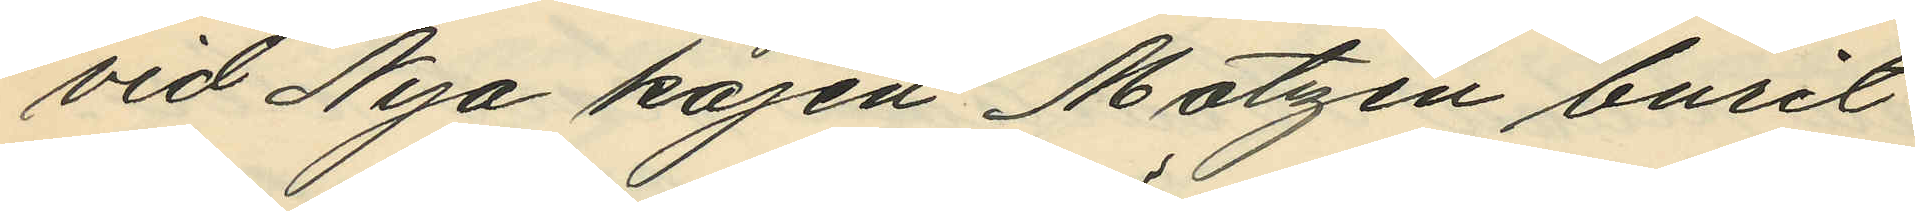vid Nya kajen Matzén burit
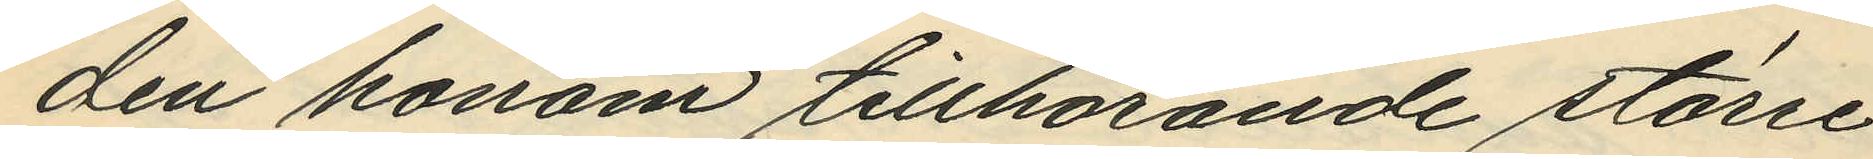den honom tillhörande större
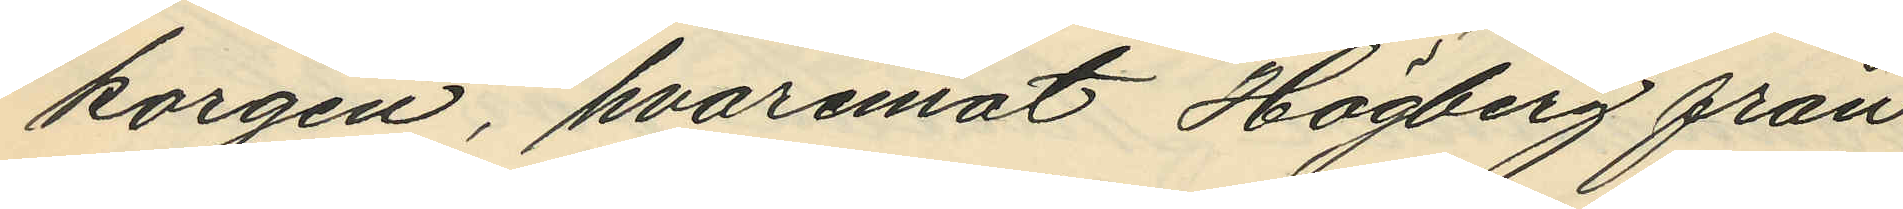korgen, hvaremot Högberg från
